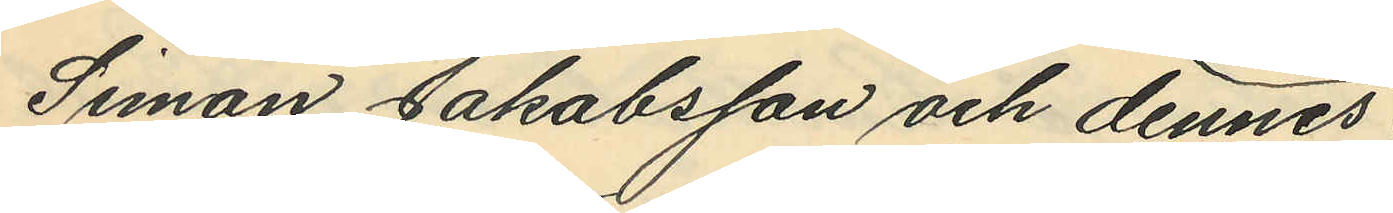Simon Jakobsson och dennes
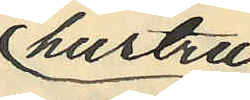hustru
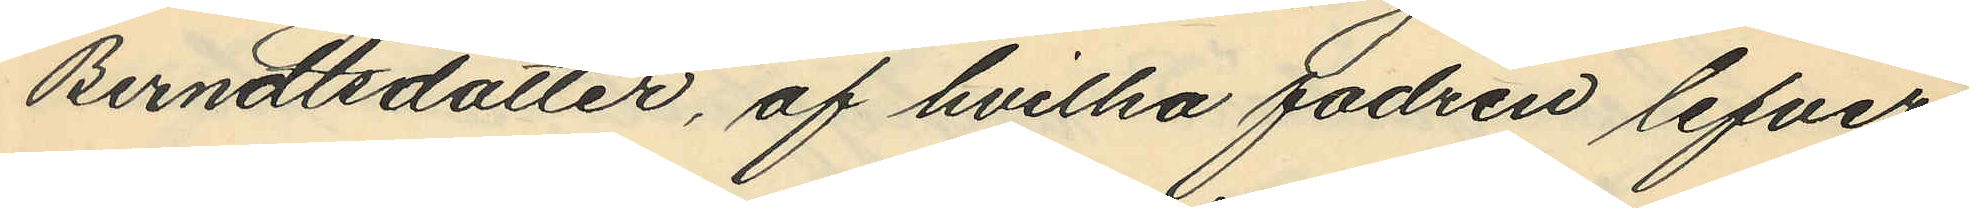Berndtsdotter, af hvilka fadren lefver
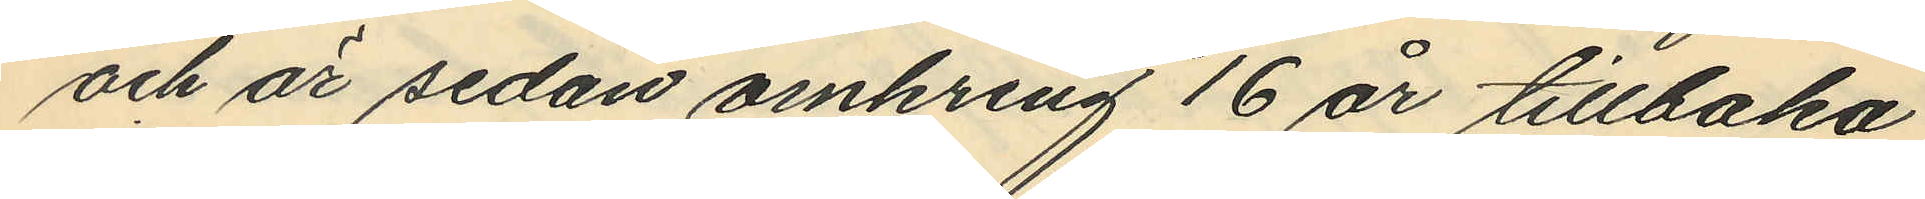och är sedan omkring 16 år tillbaka
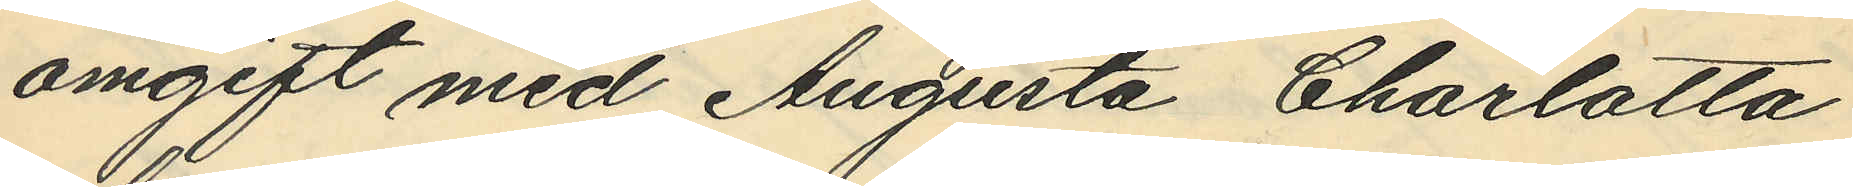omgift med Augusta Charlotta
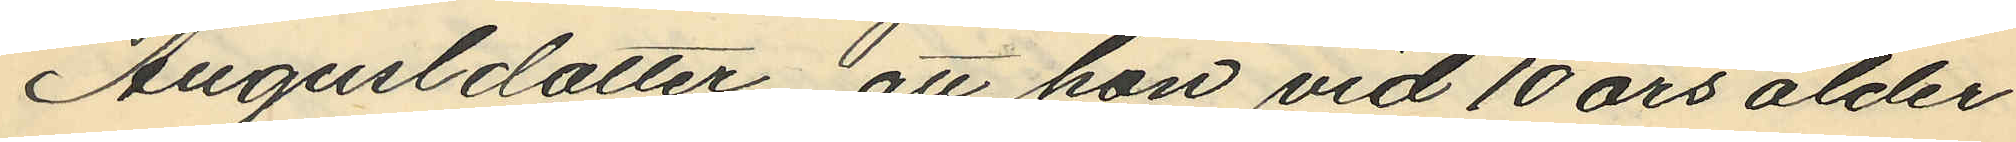Augusldotter, att hon vid 10 års ålder
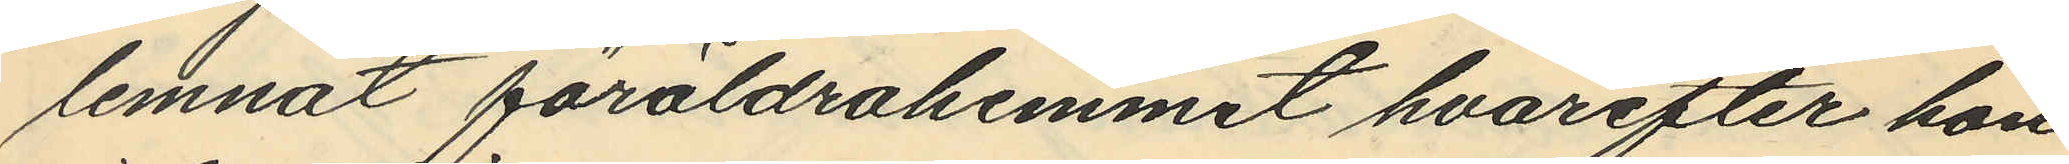lemnat föräldrahemmet hvarefter hon
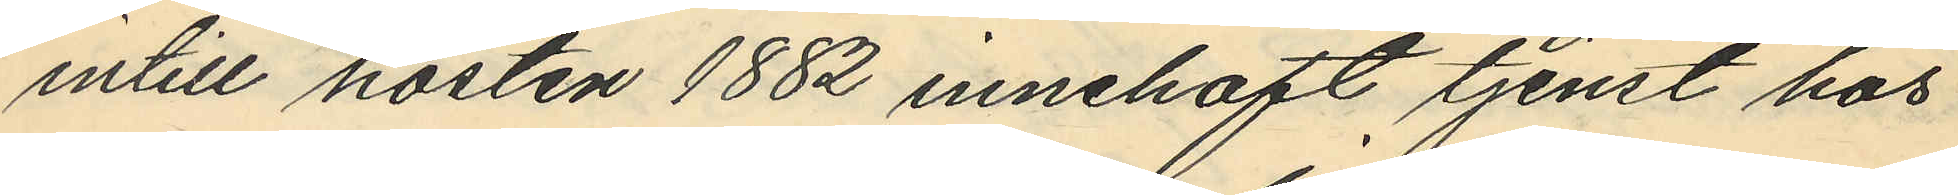intill hösten 1882 innehaft tjenst hos
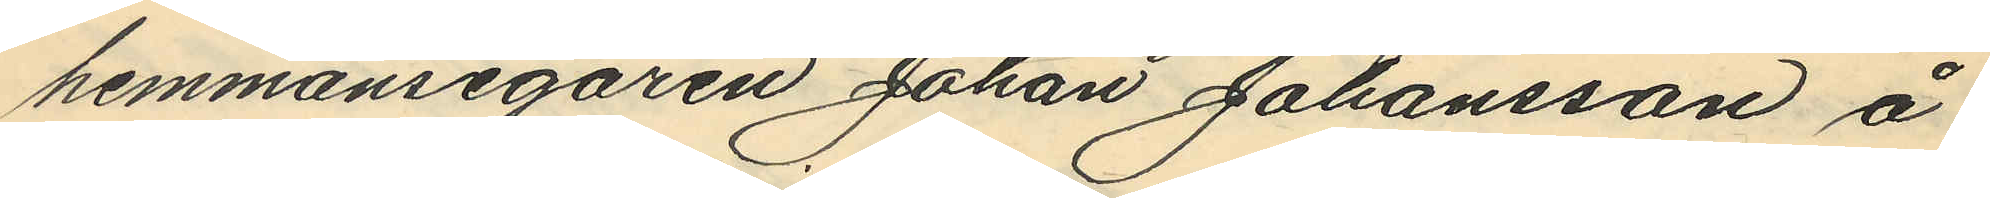hemmansegaren Johan Johansson å
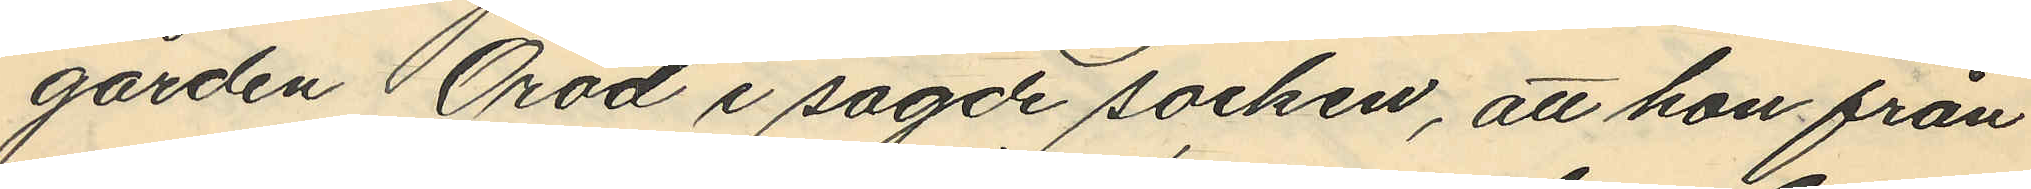gården Öröd i sagde socken, att hon från
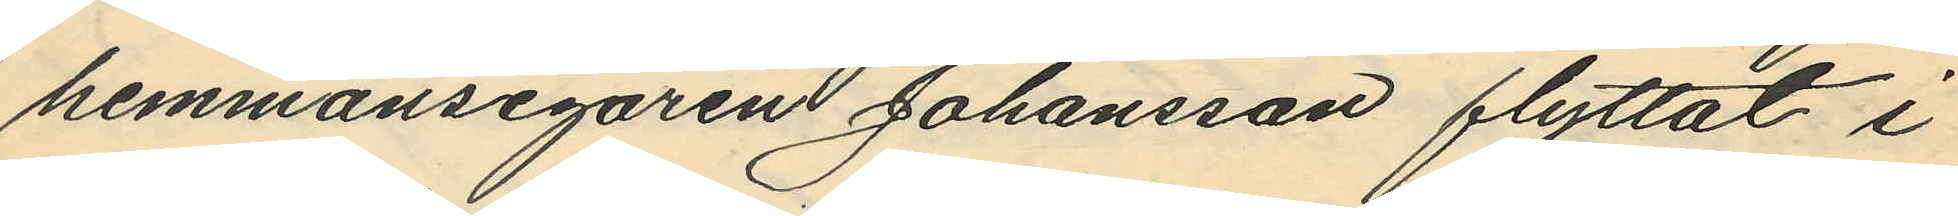hemmansegaren Johansson flyttat i
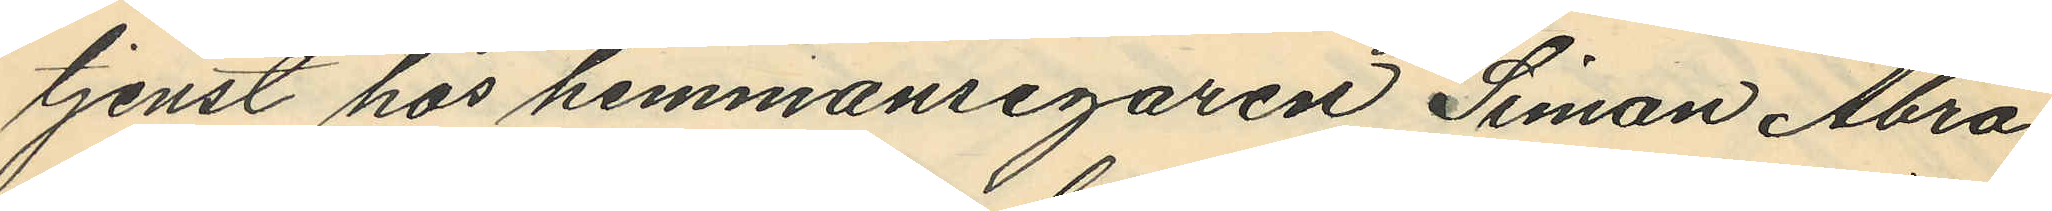tjenst hos hemmansegaren Simon Abra
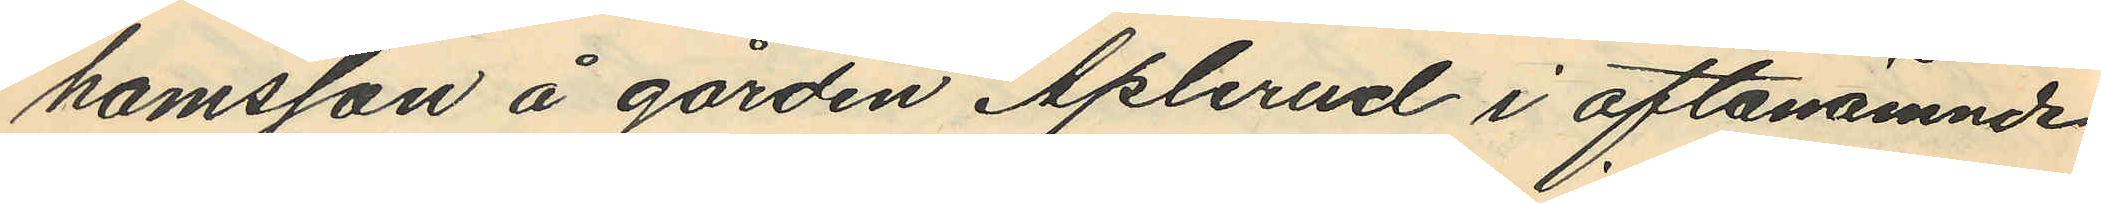hamsson å gården Aplerud i oftanämnde
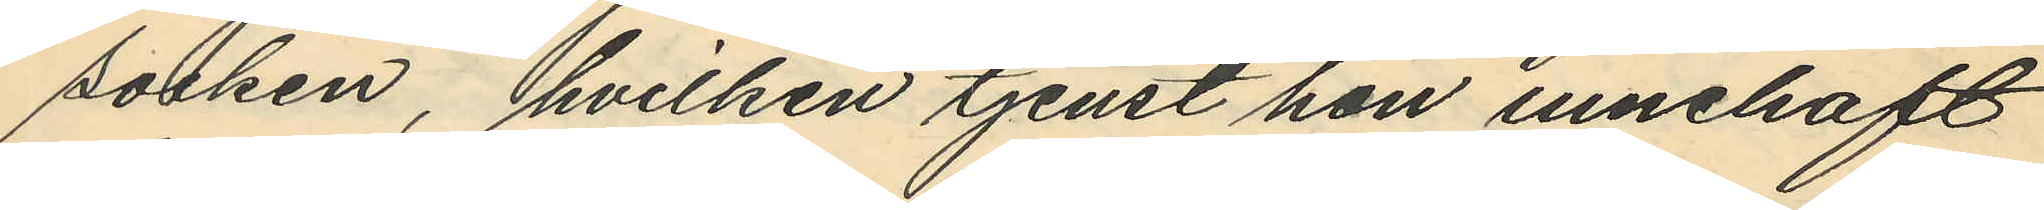socken, hvilken tjenst hon innehaft
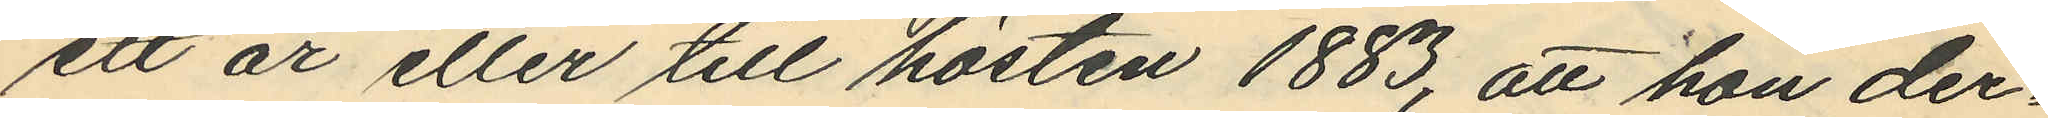ett år eller till hösten 1883, att hon der¬
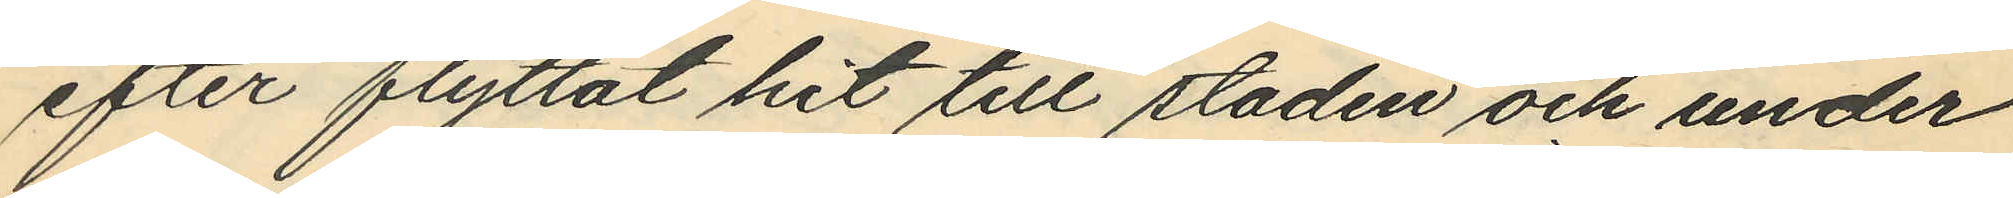efter flyttat hit till staden och under
